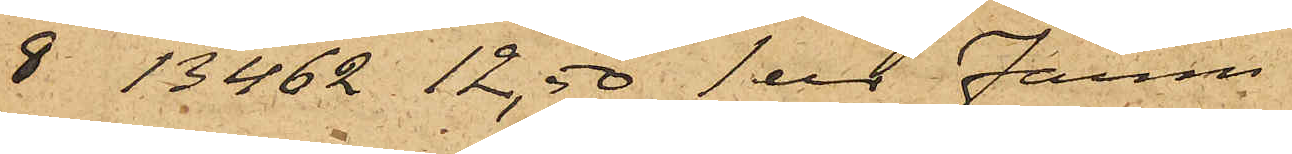8 13462 12,50 1 ur Färm
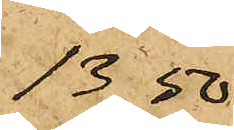13,50
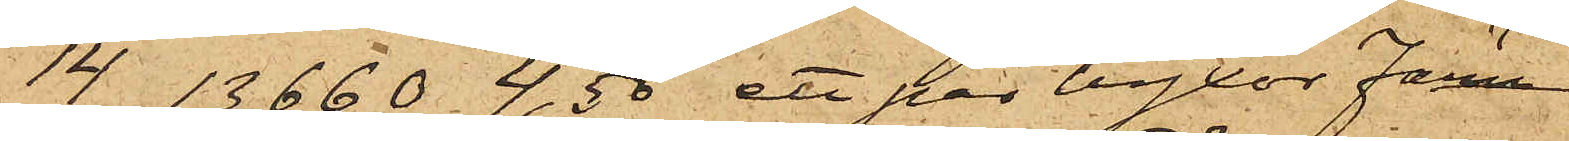14 13660 4,50, ett par byxor Färm
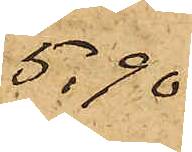5,90
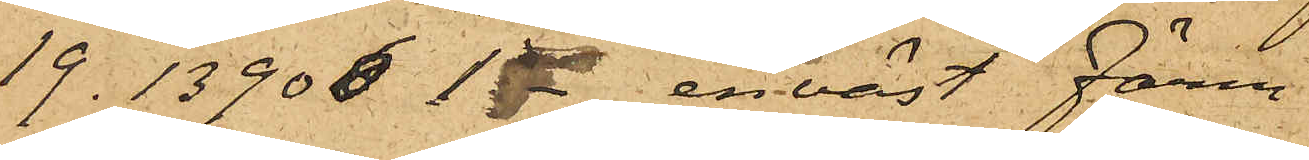19. 13906 1- en väst Färm
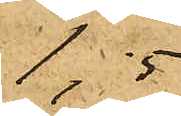1,5
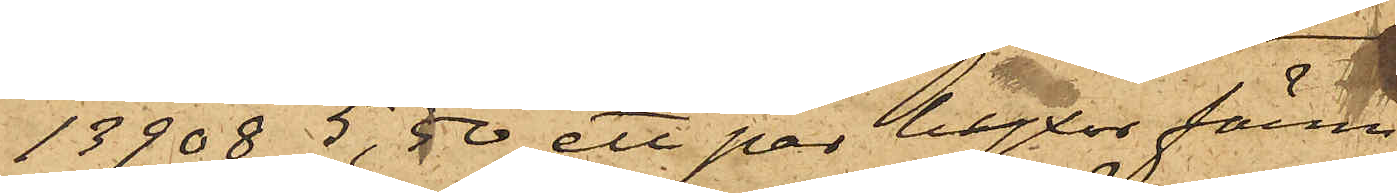13908 5,50 ett par byxor färm
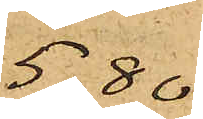5,80
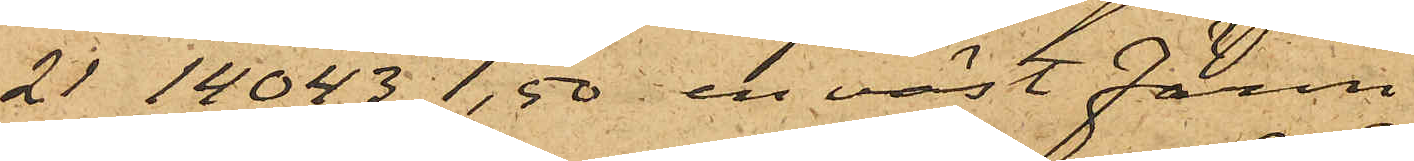21 14043  1,50 en väst Färm
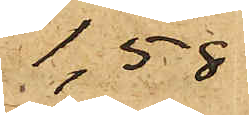1,58
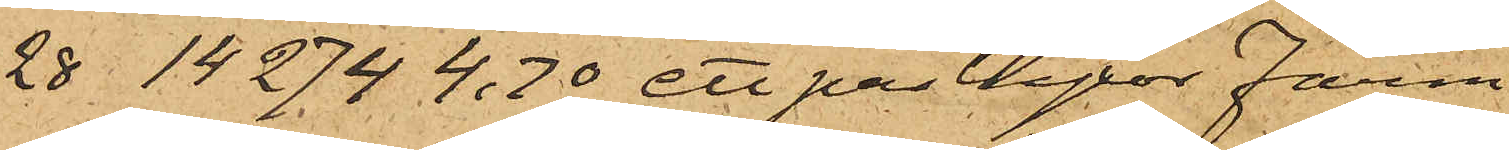28 14274  4,70 ett par byxor Färm
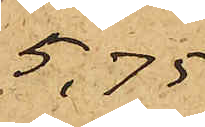5,75
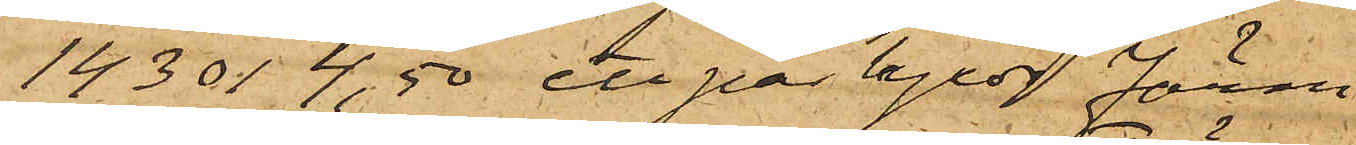14301 4,50, ett par byxor Färm
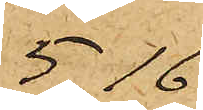5,16
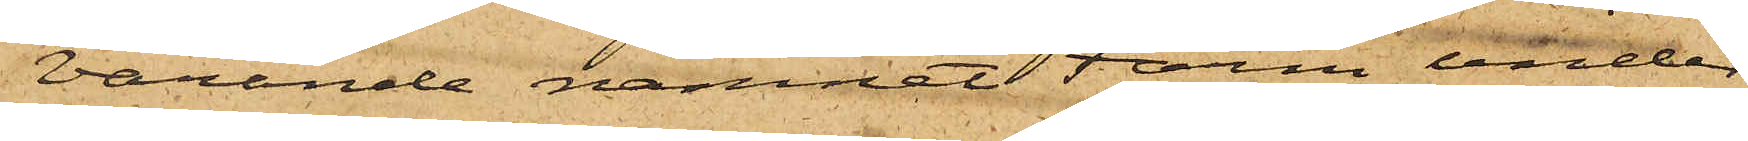varande namnet Färm under
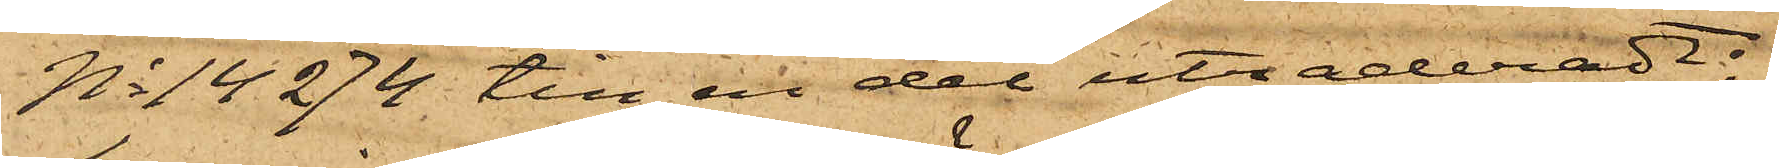No 14274 till en del utraderadt;
